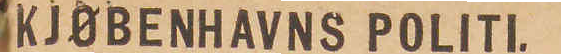KJØBENHAVNS POLITI.
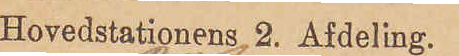Hovedstationens 2. Afdeling.
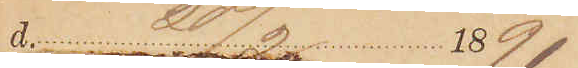d. 20/2 1891:
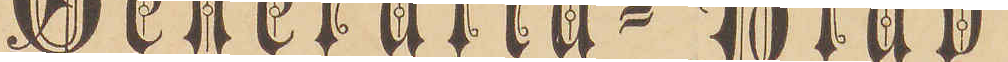Generalia=Blad
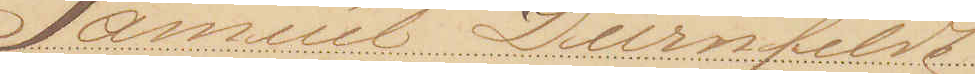Samuel Dürnfeldt
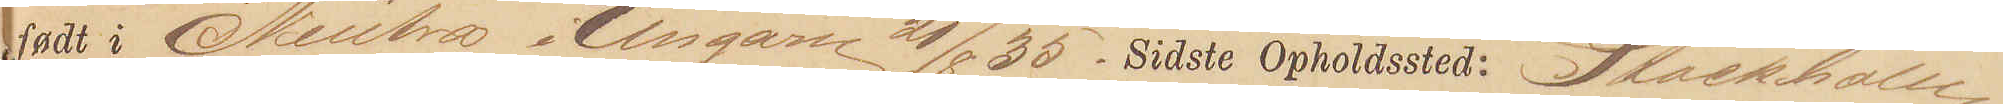født i Neütra i Ungarn 21/8 35. Sidste Opholdssted: Stockholm
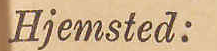Hjemsted:
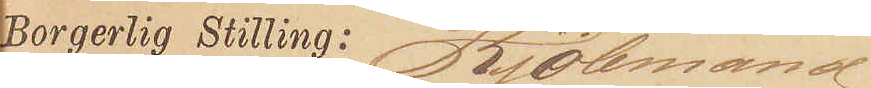Borgerlig Stilling: Kjøbmand
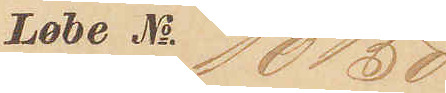Løbe No. 10150
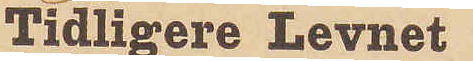Tidligere Levnet
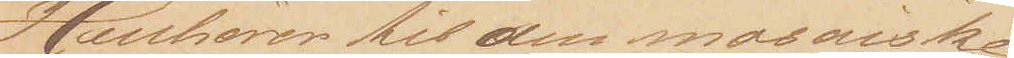Henhører til den mosaiske
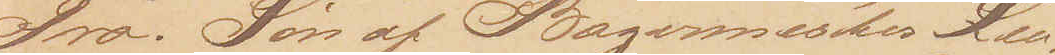Tro. Søn af Bagermester Leo¬
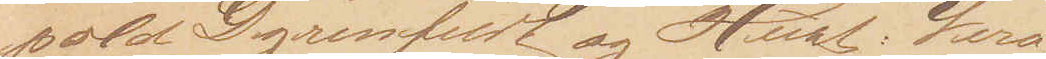pold Dyrenfeldt og Hust: Vero¬
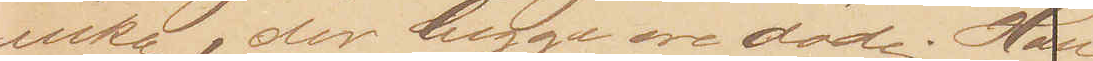nika, der begge ere døde. Han
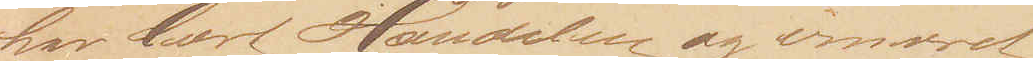har lært Handelen og ernæret
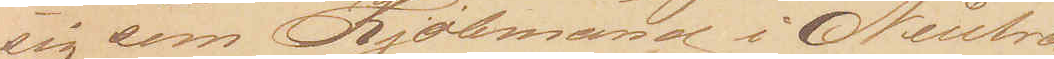sig som Kjøbmand i Neutra.
